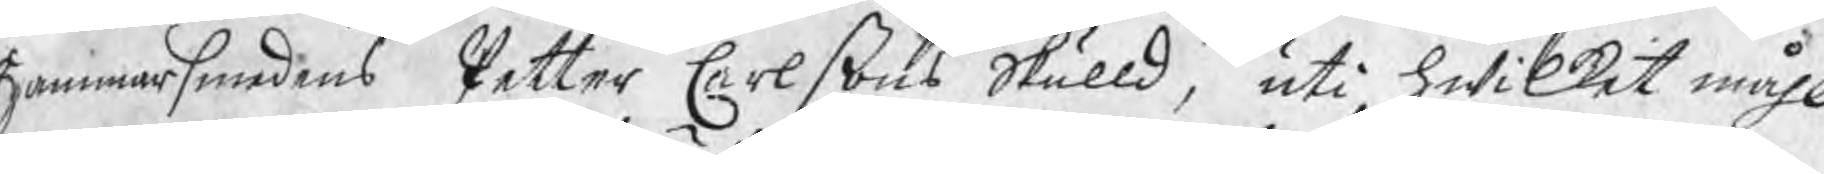Hammarsmedens Petter Carlßons Skulld, uti hwilket måhl
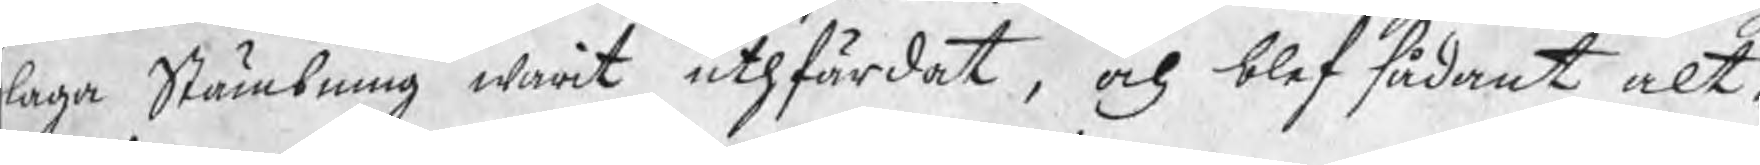laga Stämbning warit uthfärdat, och blef sådant alt¬
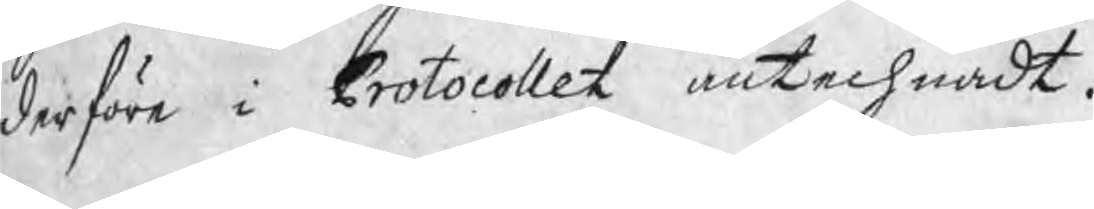derföre i Protocollet antechnadt.
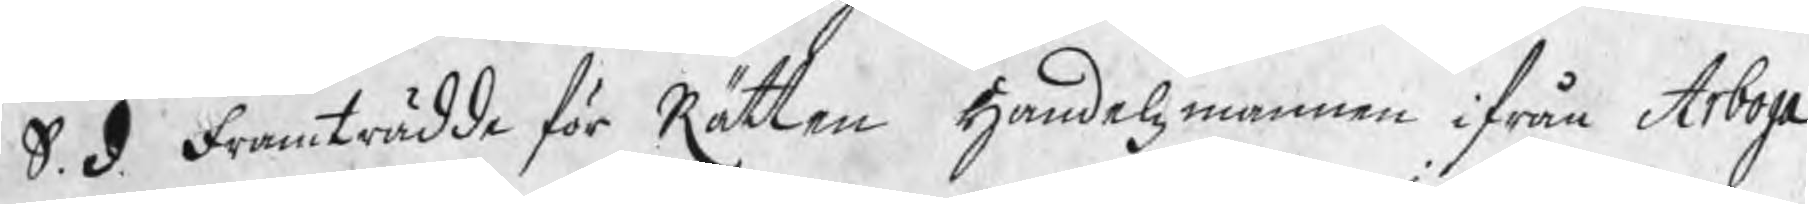S. d. Framträdde för Rätten Handelsmannen ifrån Aboga
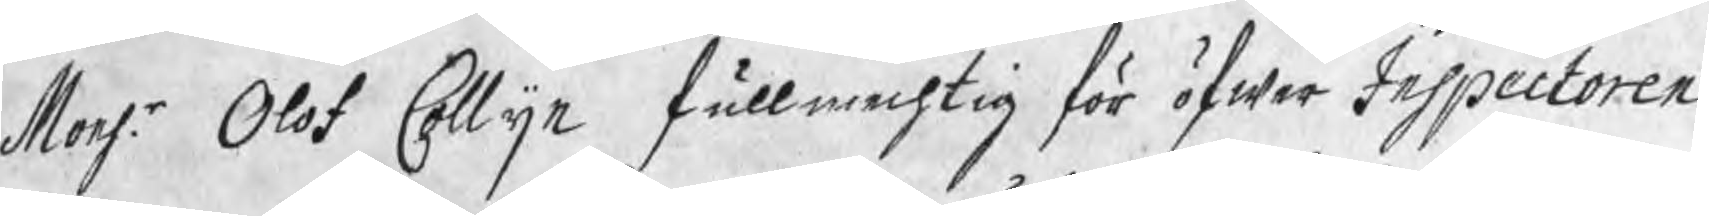Monsr. Olof Collijn fullmechtig för öfwer Inspectoren
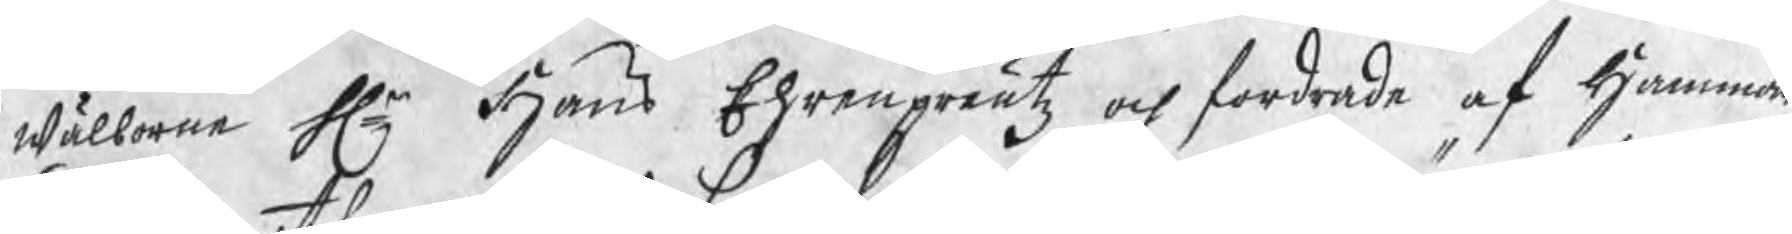wälborne Hr Hans Ehrenpreutz och fordrade af Hammar¬
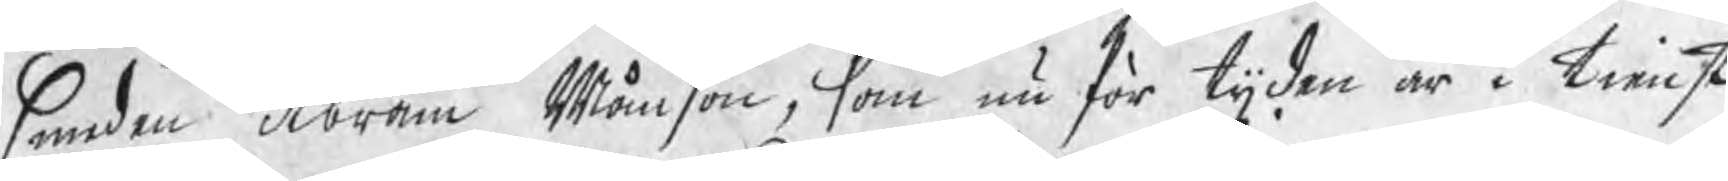smeden Abram Månson, som nu för tijden är i tienst
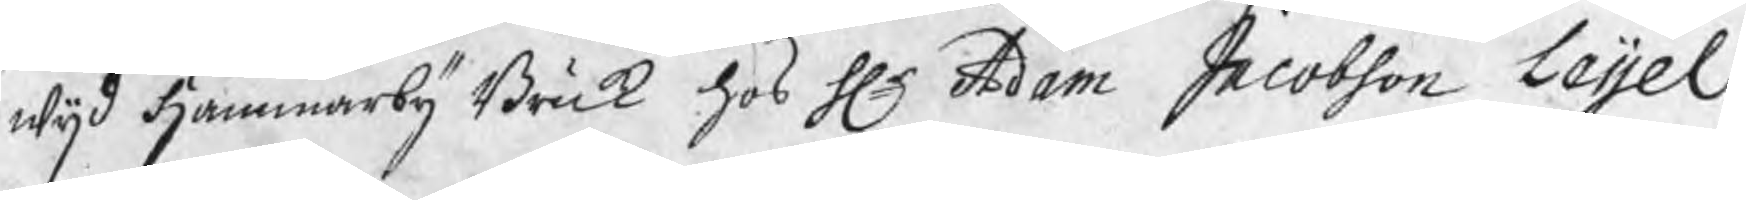wijd Hammarby Bruk hos Hr Adam Jacobson Leijel,
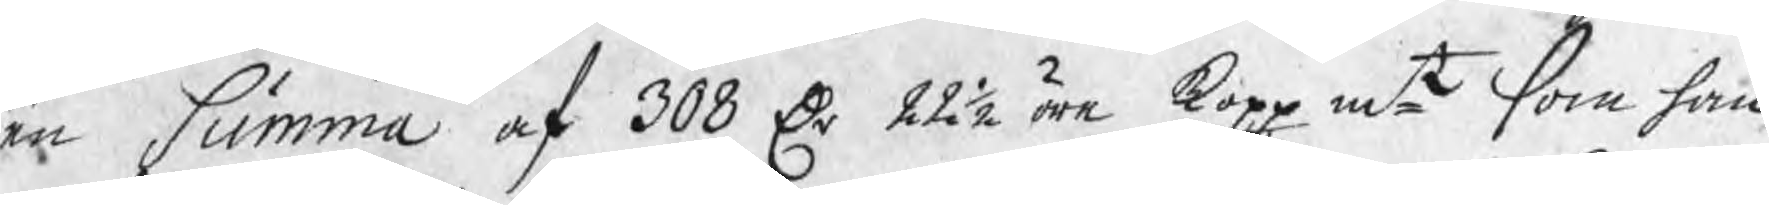en summa af 308 Dr 22½ öre koppmt som han
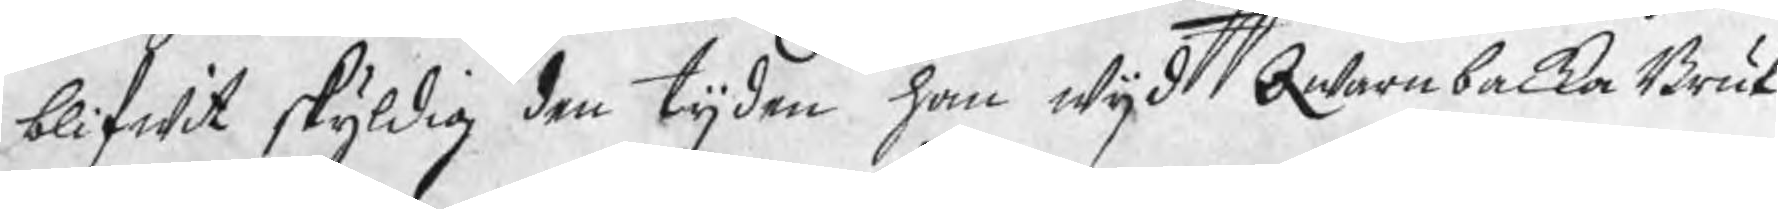blifwit skyldig den tijden han wijd Qwarnbacka Bruk
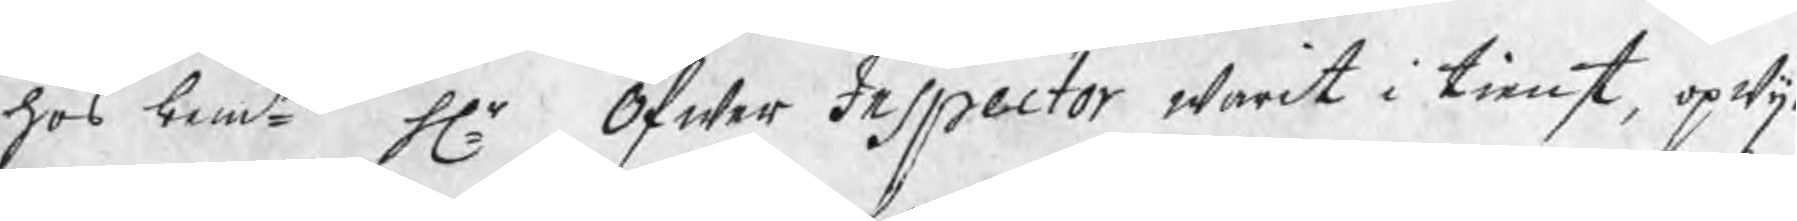hos bemte Hr Öfwer Inspector warit i tienst, opwij¬
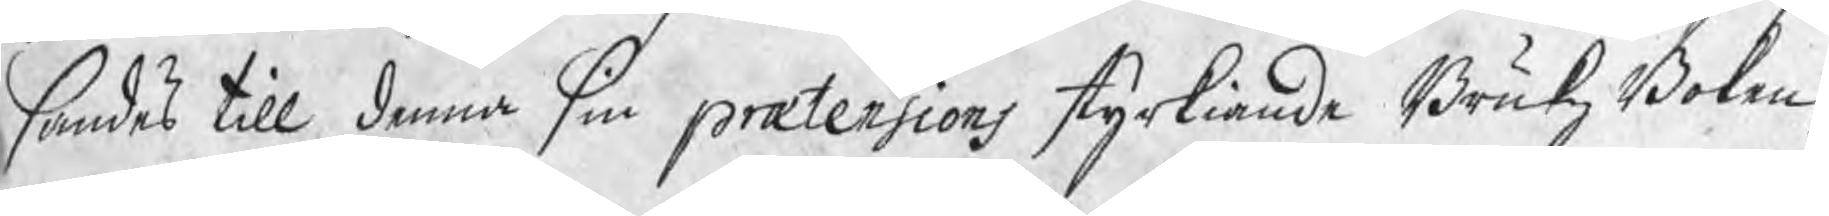sandes till denna sin prætensions styrkiande BrukzBoken,
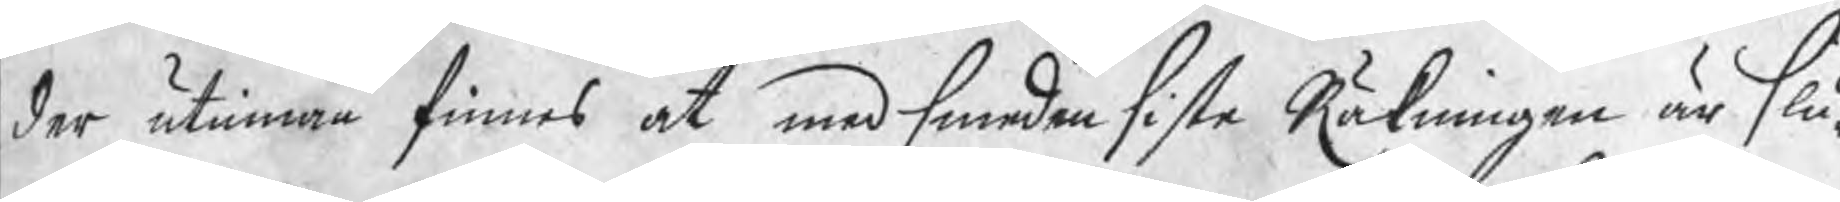der utinnan finnes at med smeden siste Räkningen är slu¬
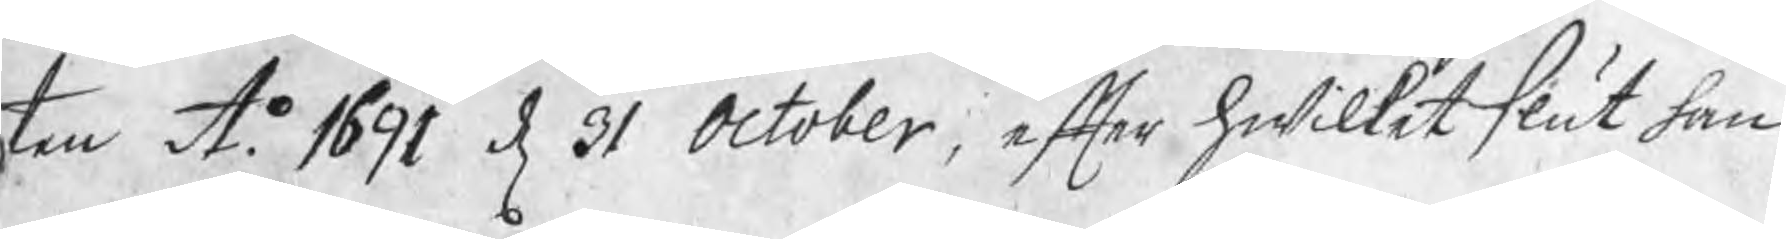ten Ao 1691 d 31 October, efter hwilket slut han
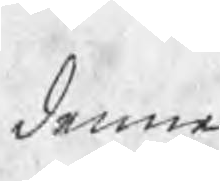denne
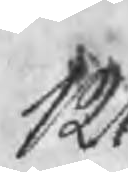121
